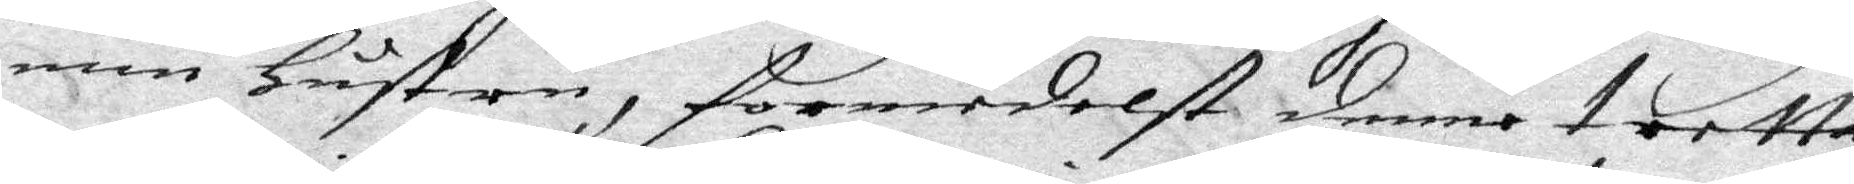min Hustru, formedelst denne tretta
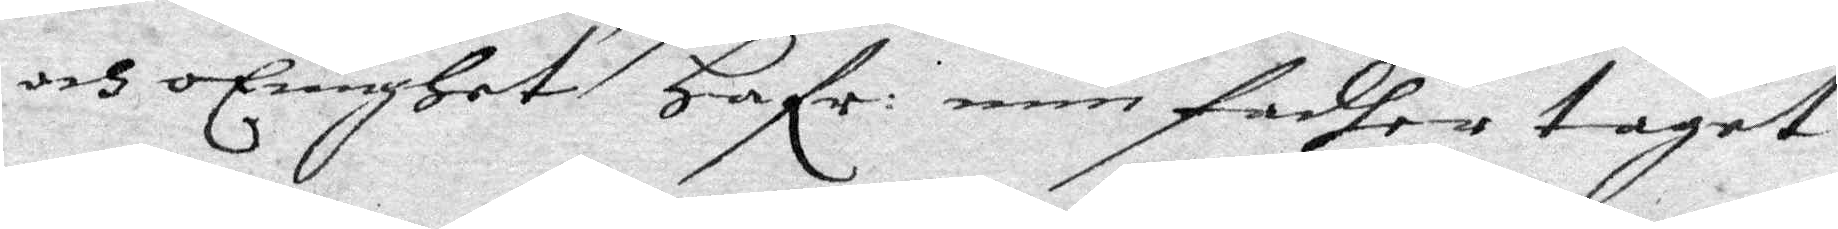och oEnigHet Hafv: min fadher taget
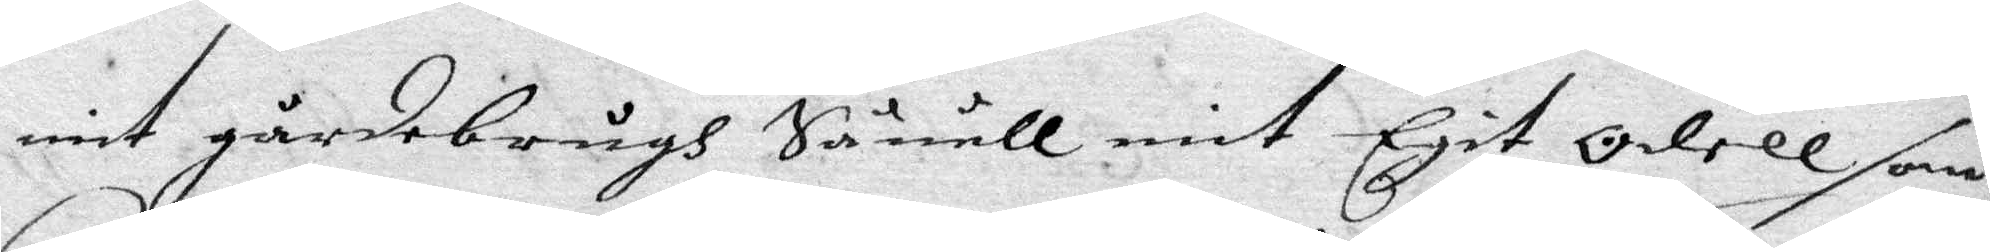mit gårdebrugs Såwäll itegit Odell som
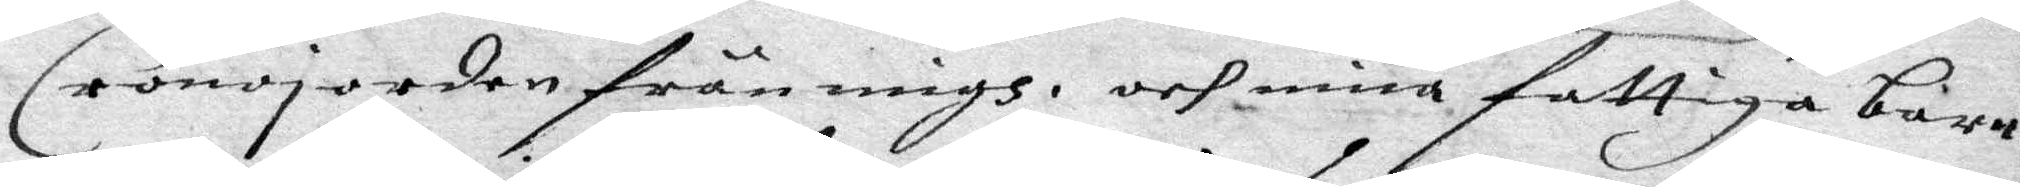Cronojorden från migh, och mina fattiga barn
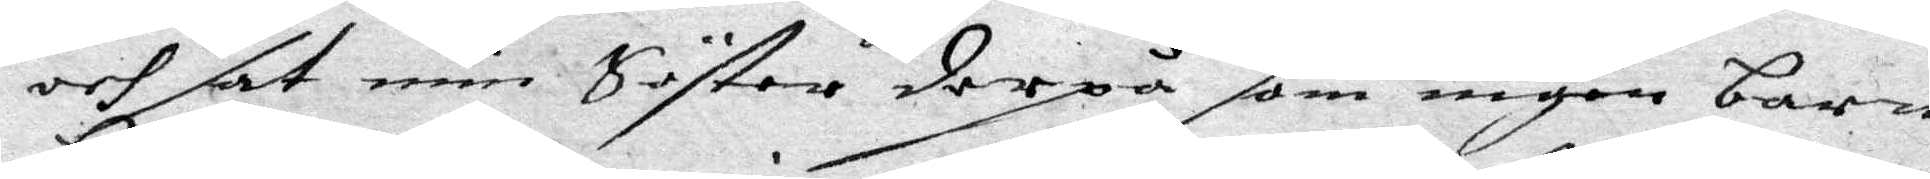och sat min Söster derpå som ingen barn
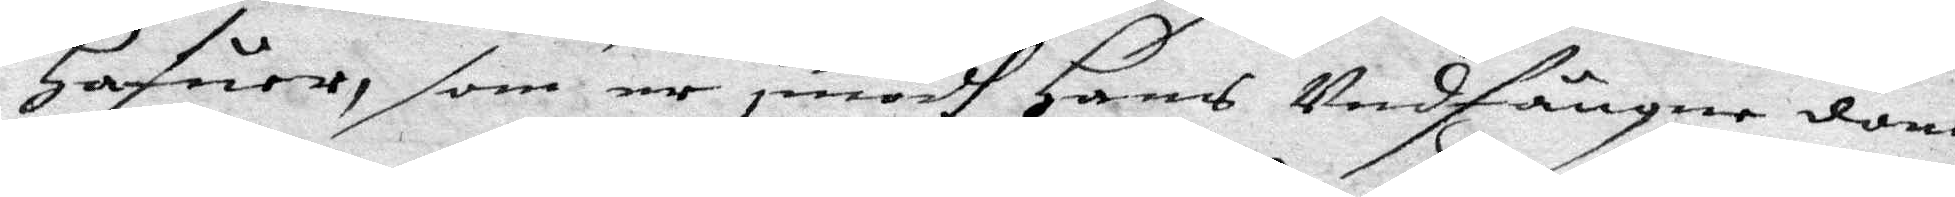Hafuer, som nu imedh Hans undfängne dom,
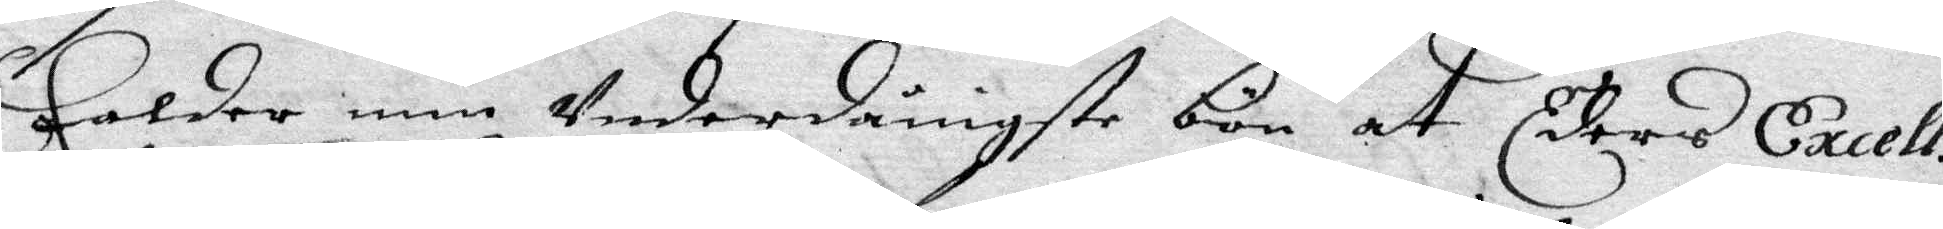Falder min underdånigste bön at Eders Excell:ß
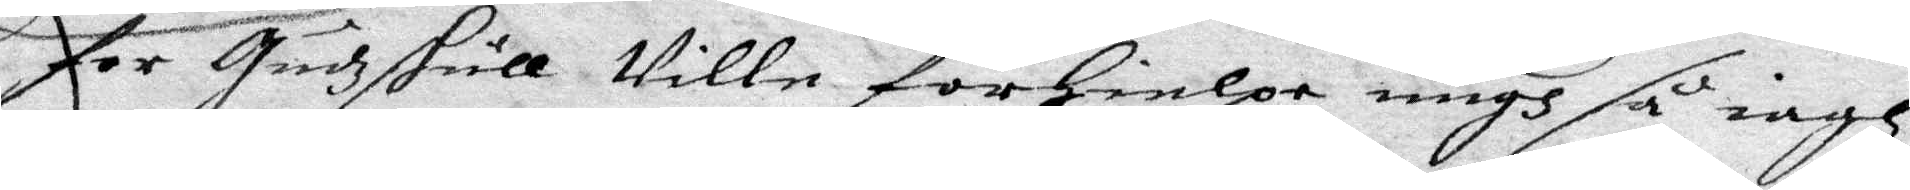for Gudz skull Wille förHielpa migh så iagh
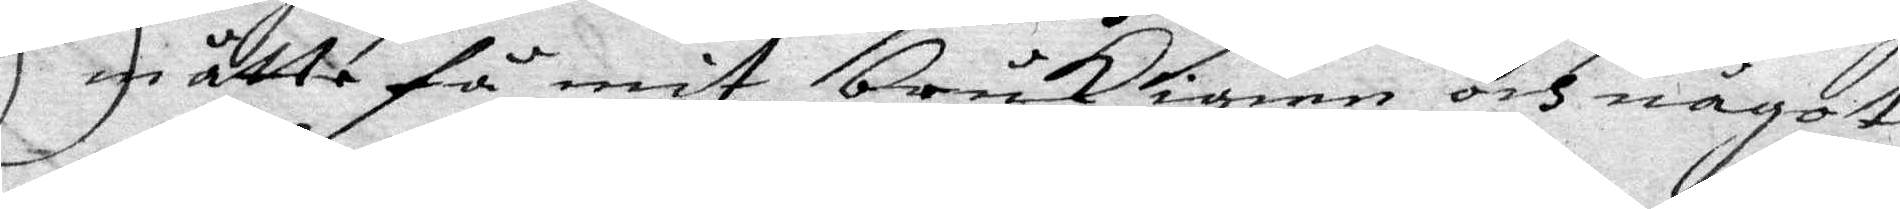en åtte få mit bruk ihen och något
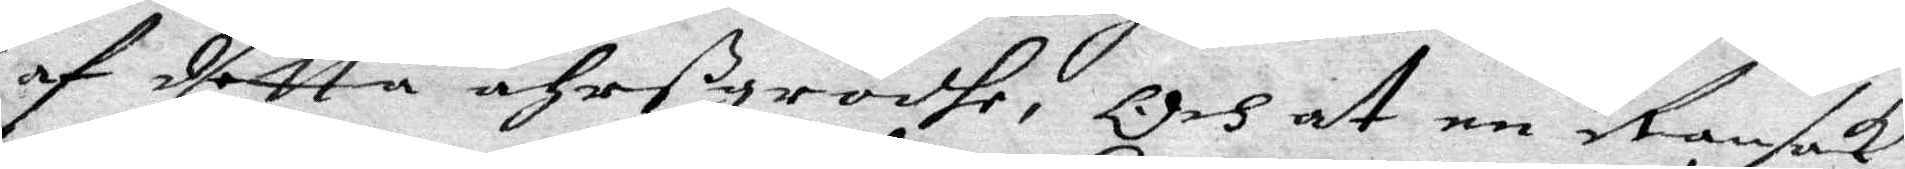af detta åhrß grödhe, Och at en ransak¬
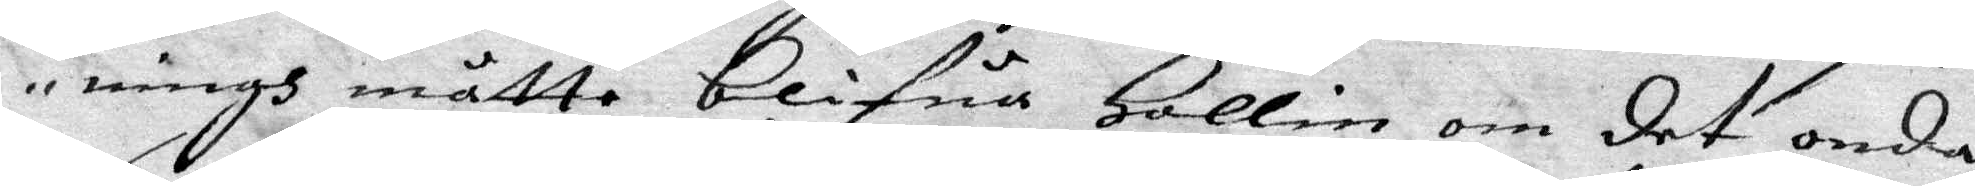ningh måtte Blifua Hollin om det onda
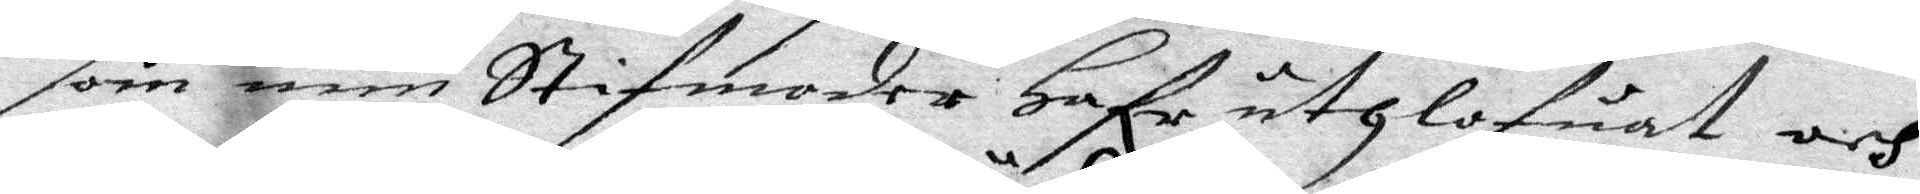om min Stigmoder Hafr utHlofuat och
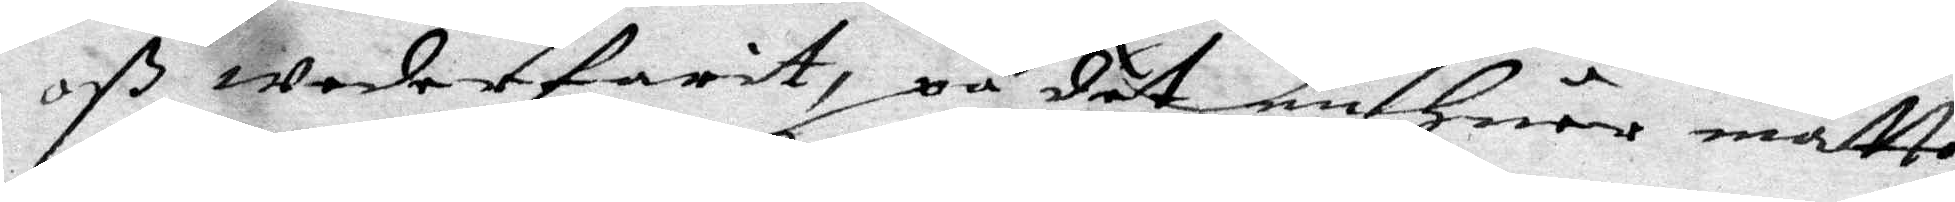oß Wederfarit, på det e Huar måtte
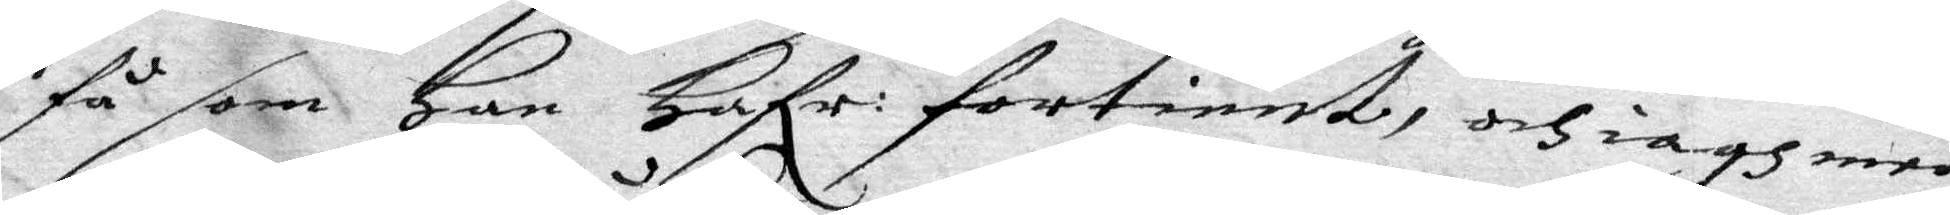få som Han Hafr: fortient, och iagh med
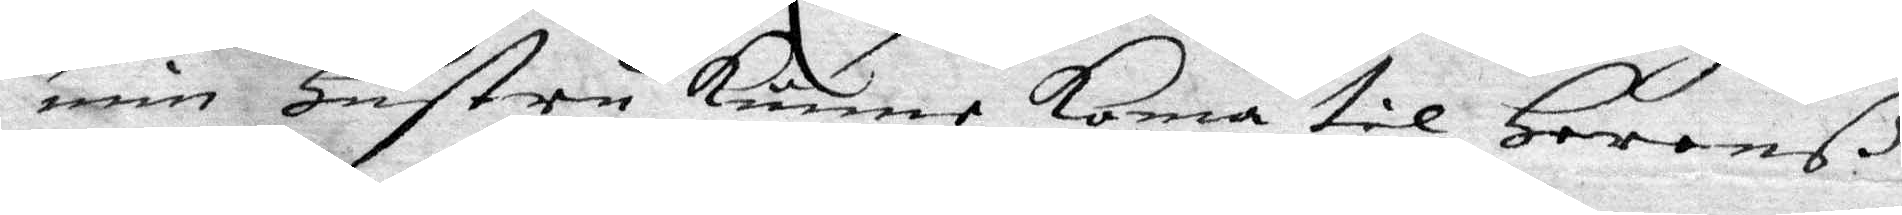min Hustru Kunne Koma til Heranß
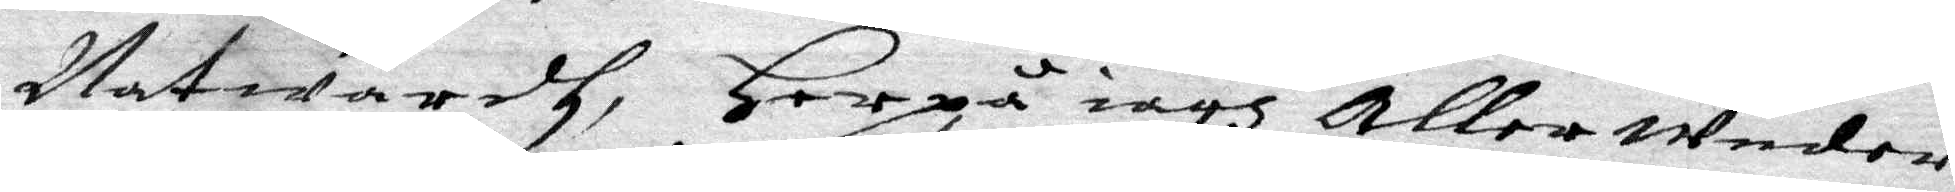Natwardh, Herpå iagh allerUnder¬
